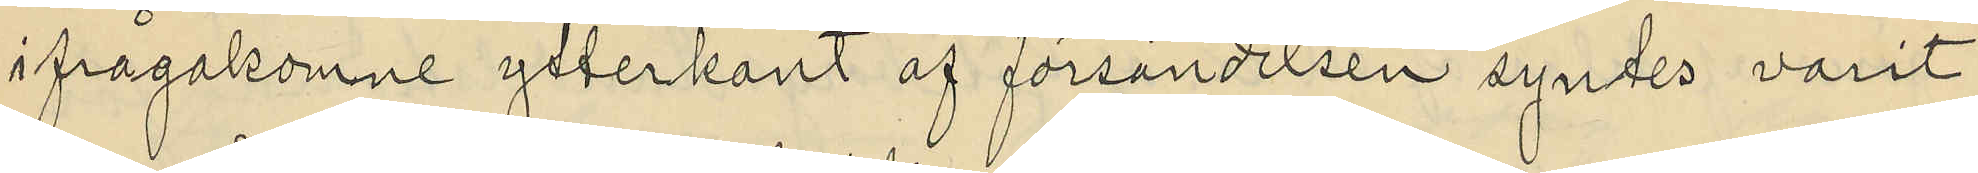ifrågakomne ytterkant af försändelsen syntes varit
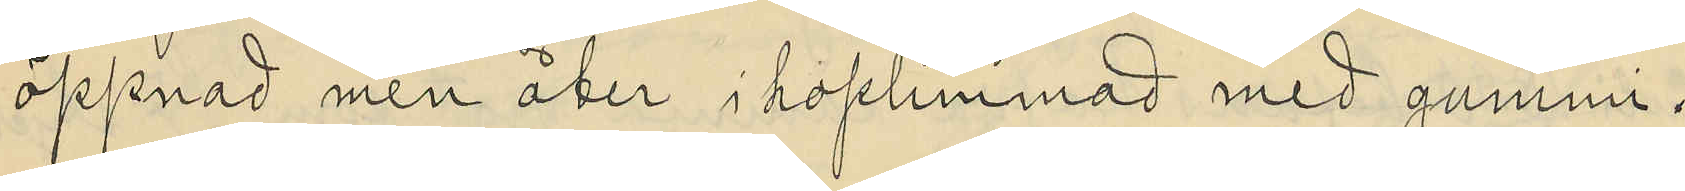öppnad men åter i hoplimmad med gummi.
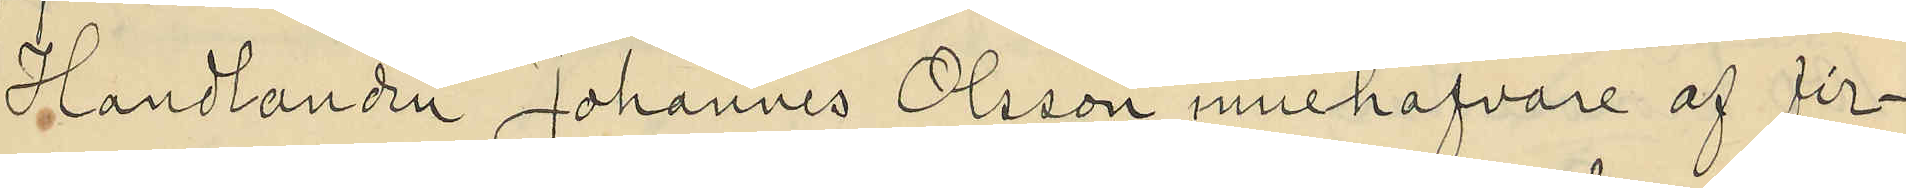Handlanden Johannes Olsson innehafvare af fir¬
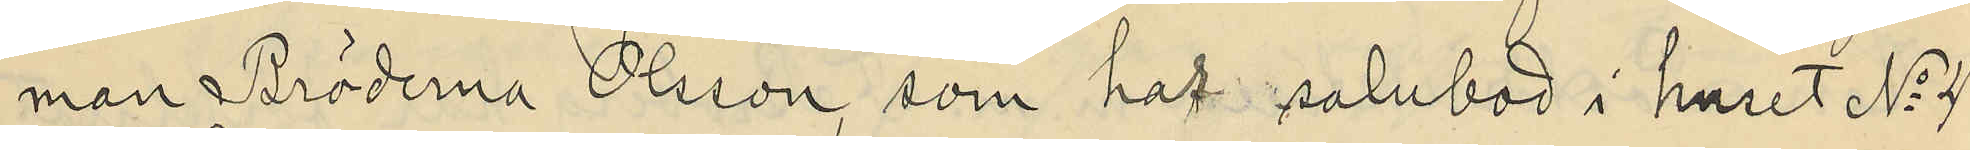man Bröderna Olsson, som har salubod i huset No 4
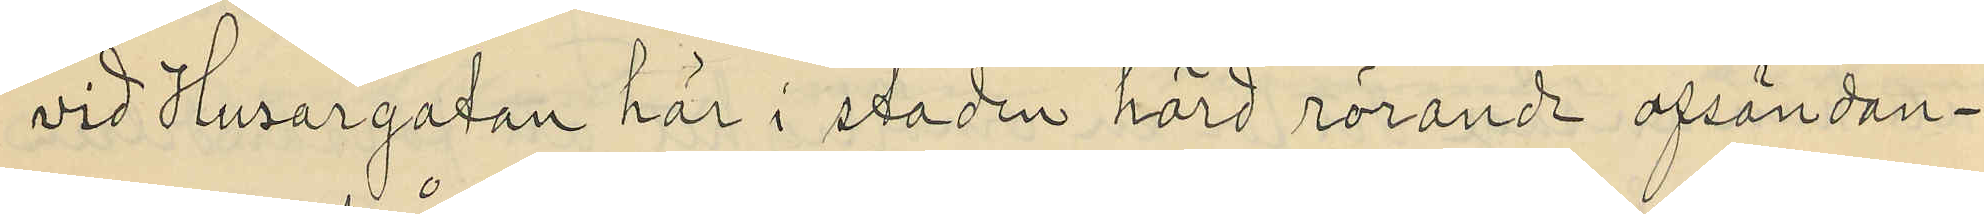vid Husargatan här i staden hörd rörande afsändan¬
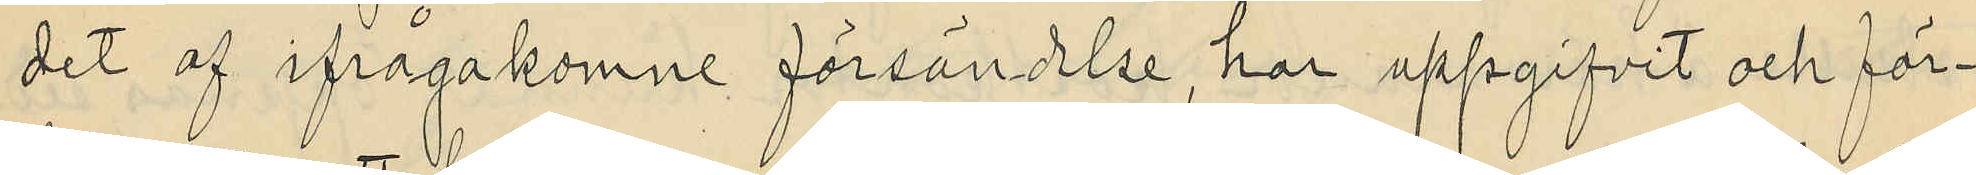det af ifrågakomne försändelse, har uppgifvit och för¬
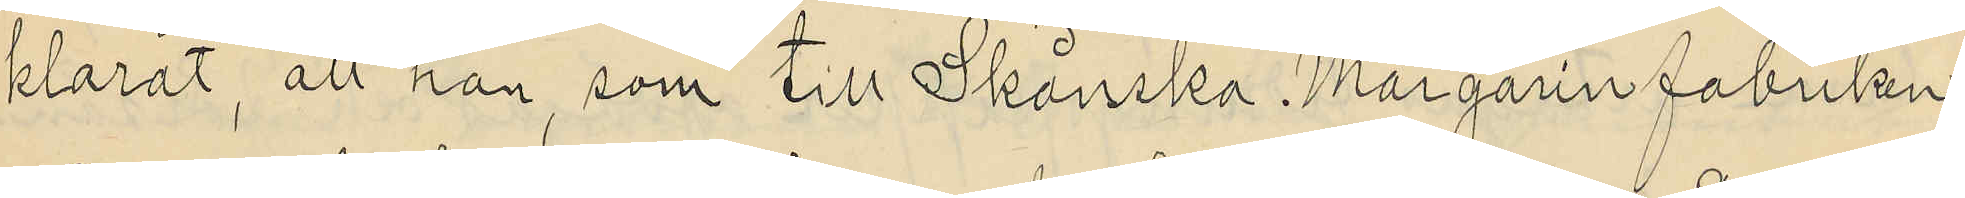klarat, att han, som till Skånska Margarin fabriken
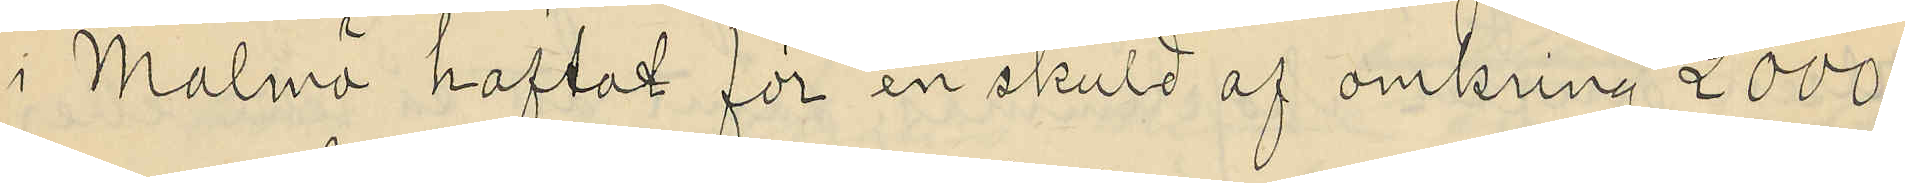i Malmö haftat för en skuld af omkring 2000
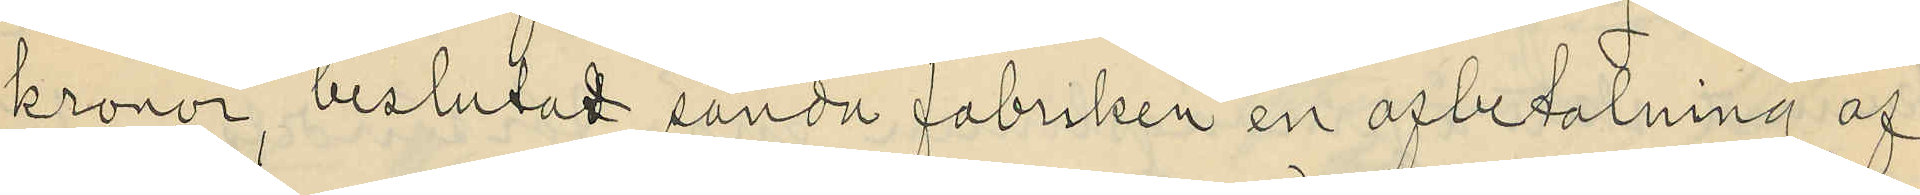kronor, beslutat sända fabriken en afbetalning af
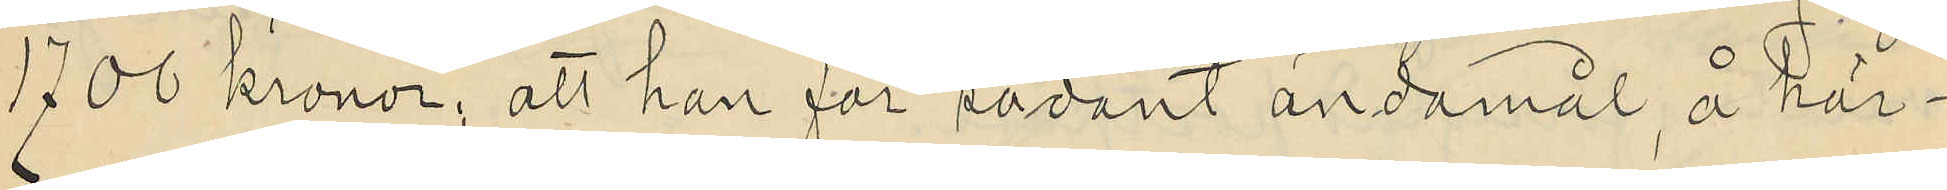1700 kronor; att han för sådant ändamål, å här¬
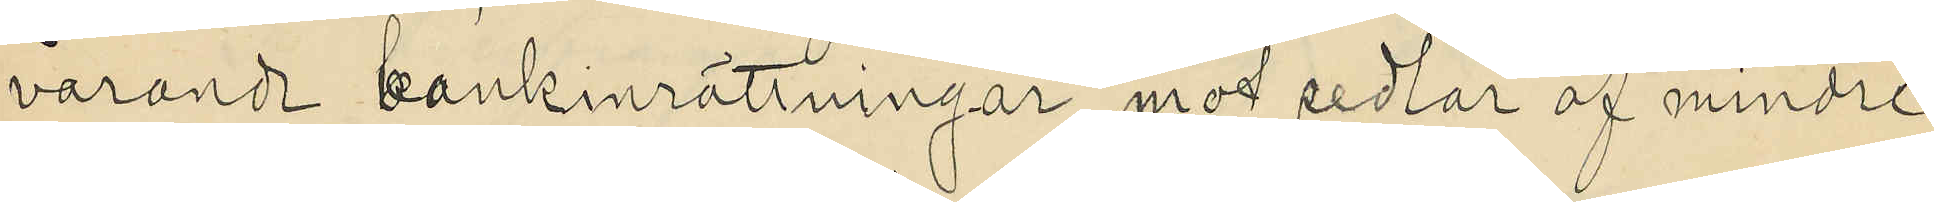varande bankinrättningar, mot sedlar af mindre
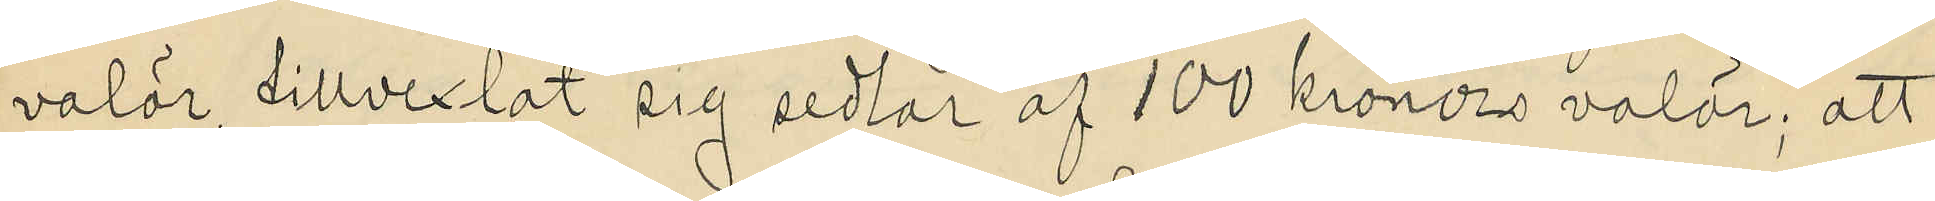valör tillvexlat sig sedlar af 100 kronors valör; att
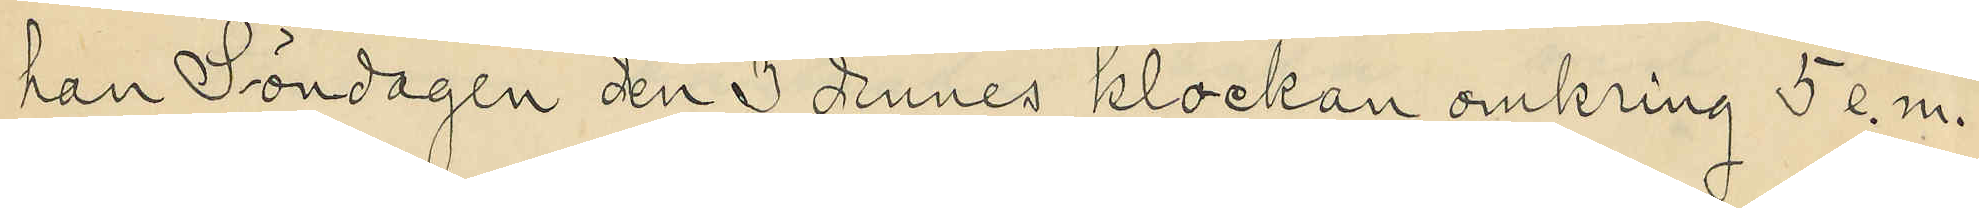han Söndagen den 3 dennes klockan omkring 5 e. m.
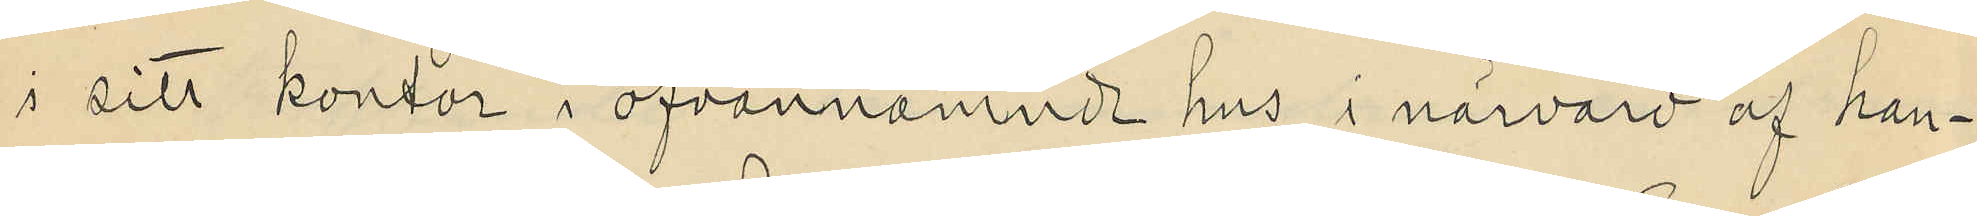i sitt kontor i ofvannämnde hus i närvaro af han¬
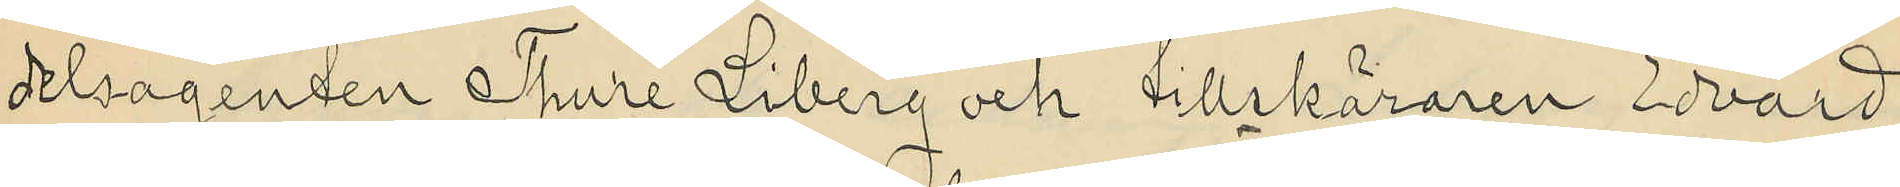delsagenten Thure Liberg och tillskäraren Edvard
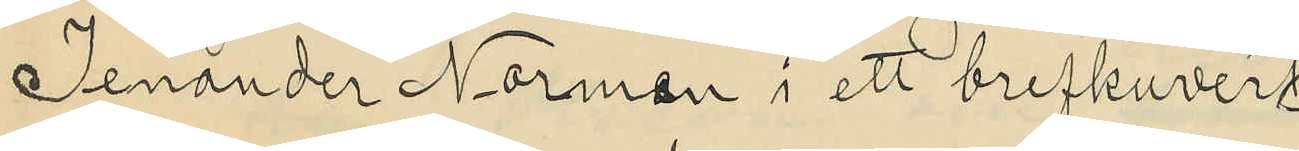Jenander Normen i ett brefkuvert
